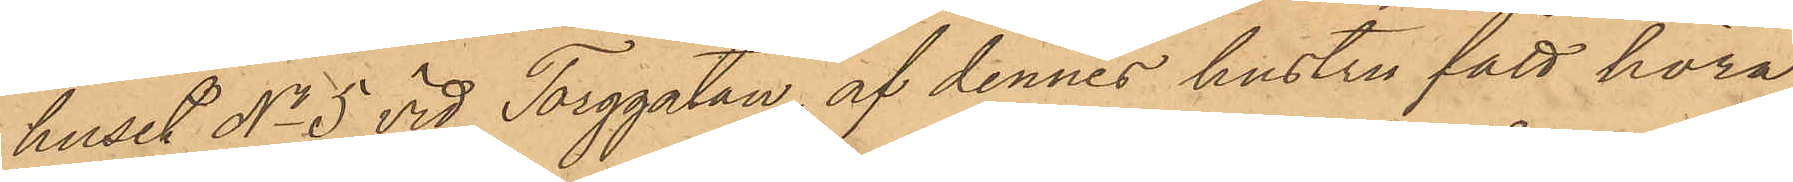huset No 5 vid Torggatan af dennes hustru fått höra
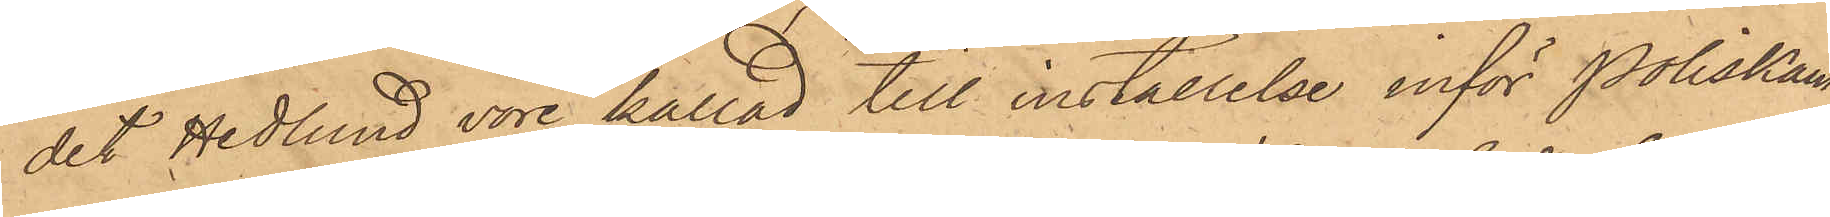det Hedlund vore kallad till inställelse inför Poliskam¬
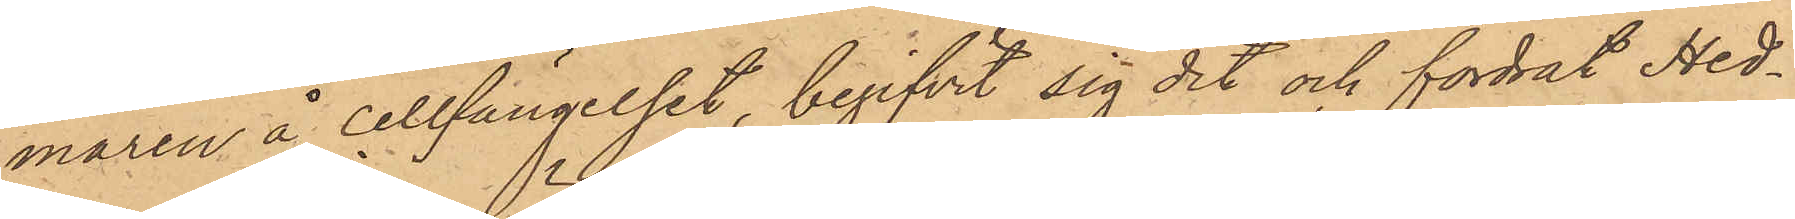maren å cellfängelset, begifvit sig dit och fordrat Hed¬
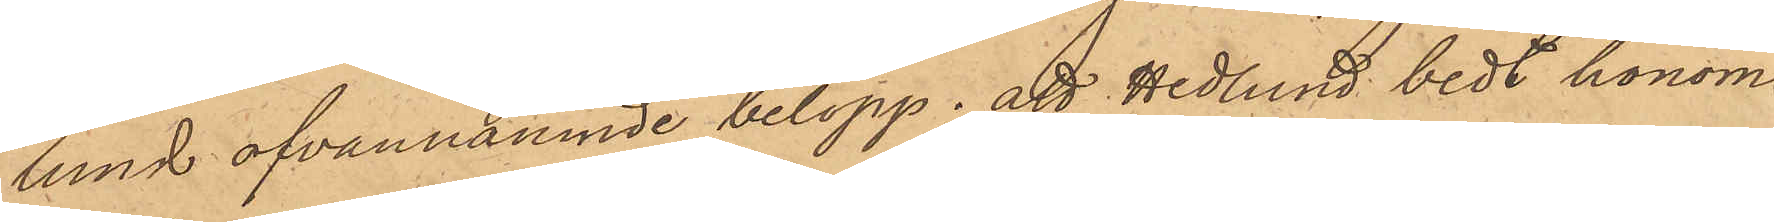lund ofvannämnde belopp; att Hedlund bedt honom
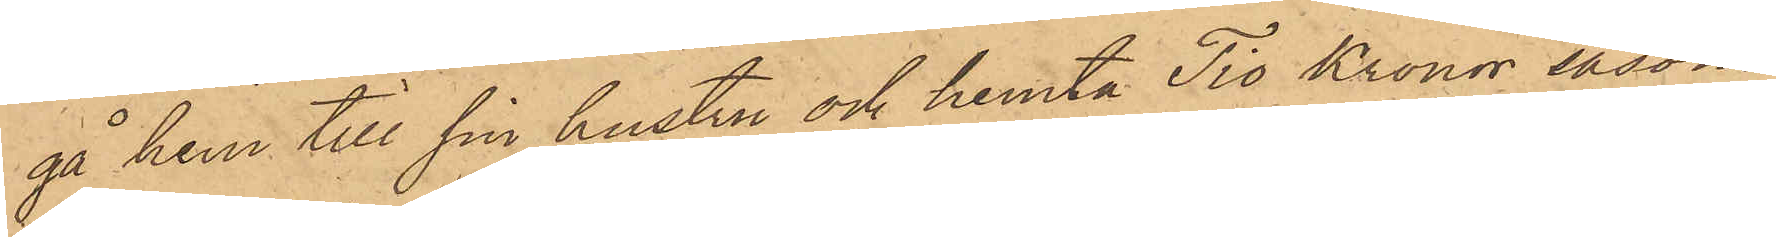gå hem till sin hustru och hemta Tio Kronor, såsom
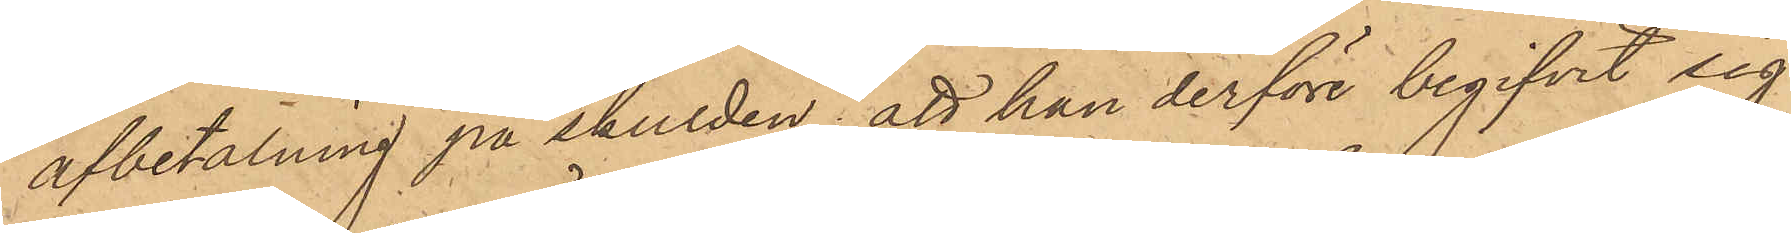afbetalning på skulden; att han derföre begifvit sig
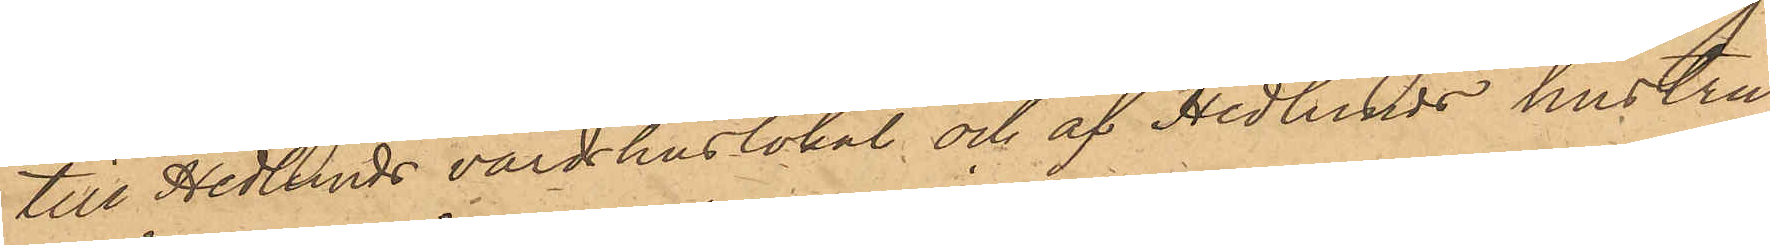till Hedlunds värdshuslokal och af Hedlunds hustru
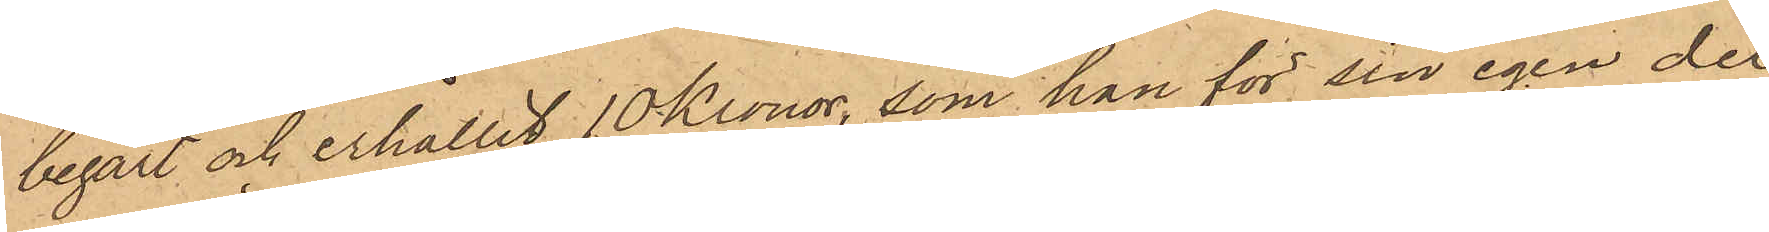begärt och erhållit 10 Kronor, som han för sin egen del
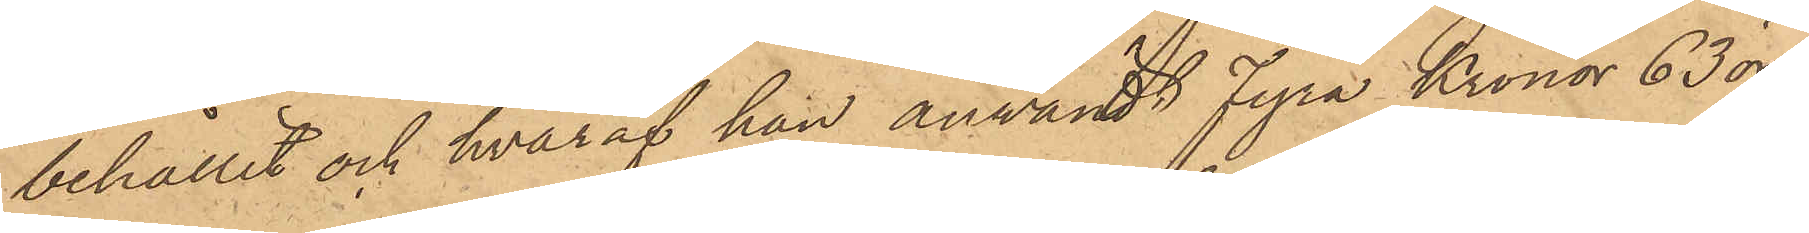behållit och hvaraf han användt fyra Kronor 63 öre,
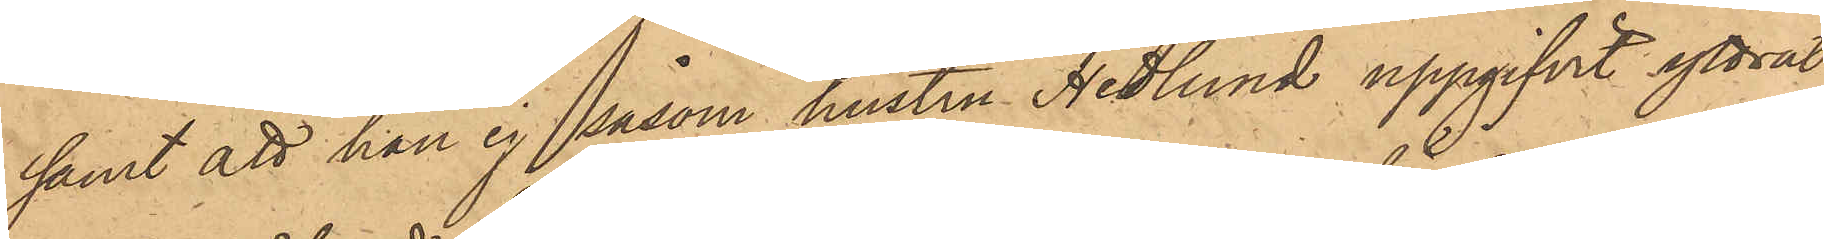samt att han ej såsom hustru Hedlund uppgifvit yttrat
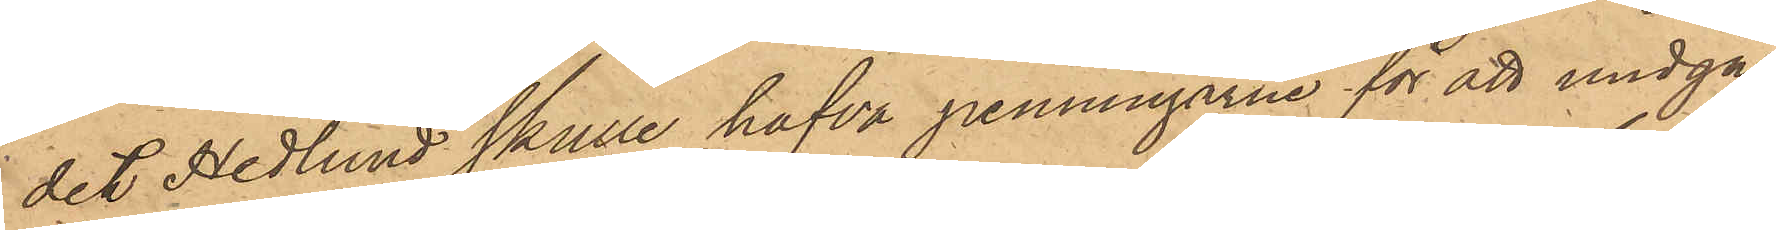det Hedlund skulle hafva penningarne för att undgå
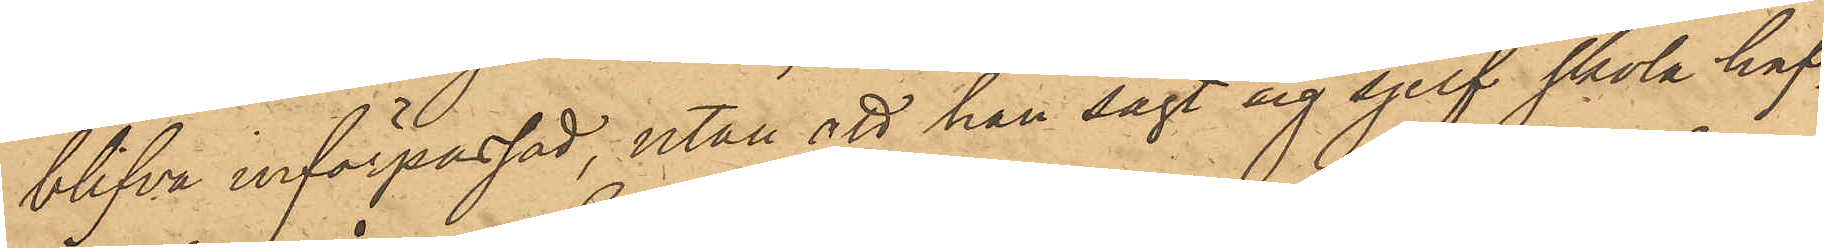blifva införpassad, utan att han sagt sig sjelf skola haf¬
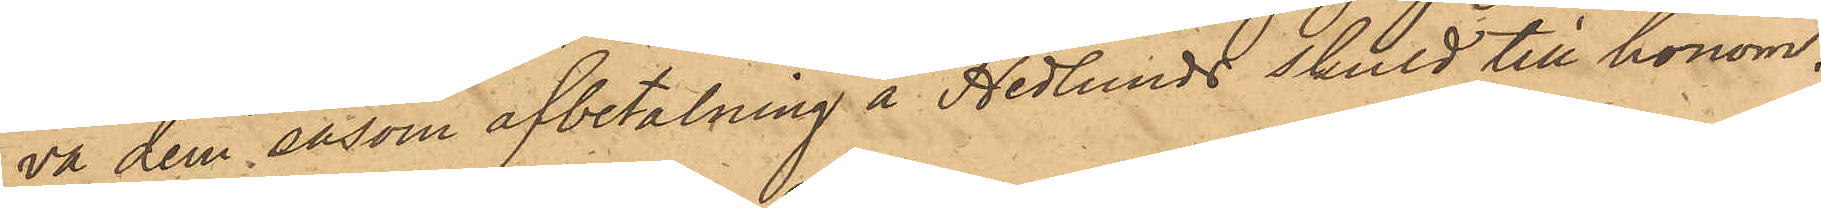va dem, såsom afbetalning å Hedlunds skuld till honom.
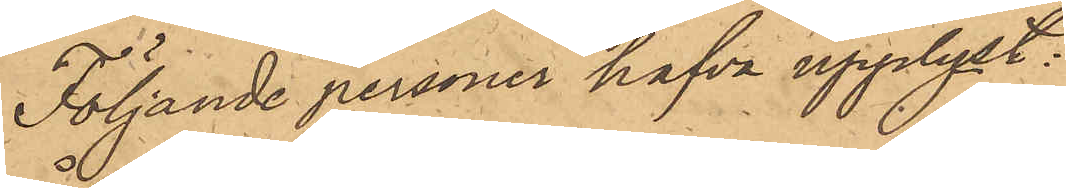Följande personer hafva upplyst:
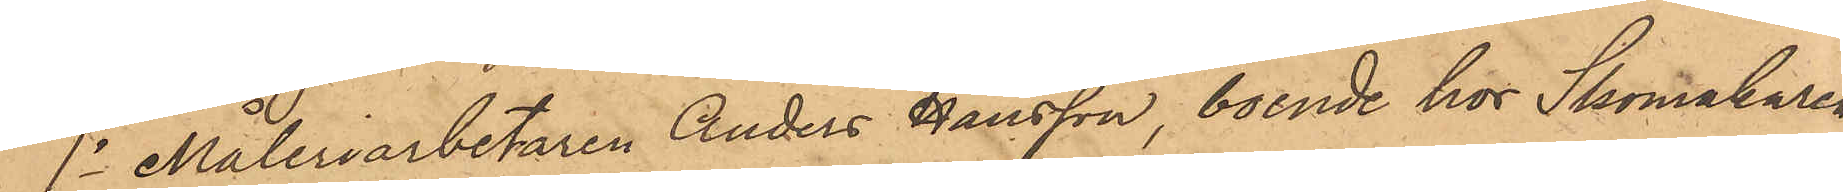1o Måleriarbetaren Anders Hansson, boende hos Skomakaren
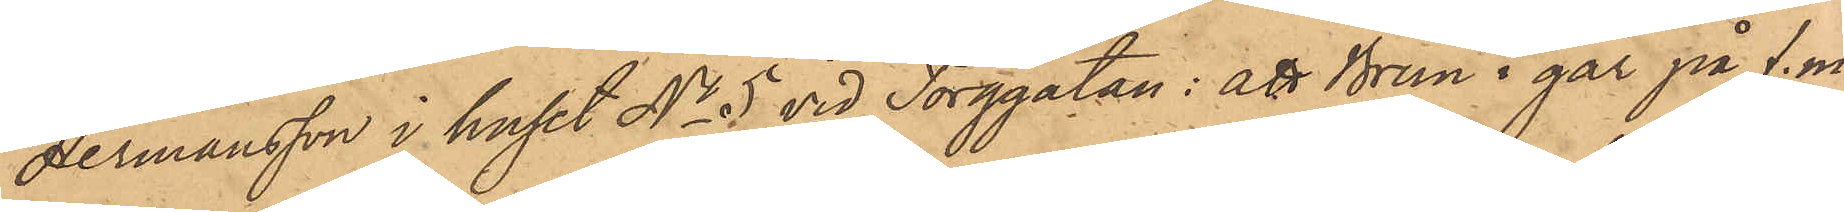Hermansson i huset No 5 vid Torggatan: att Brun i går på f. m.
